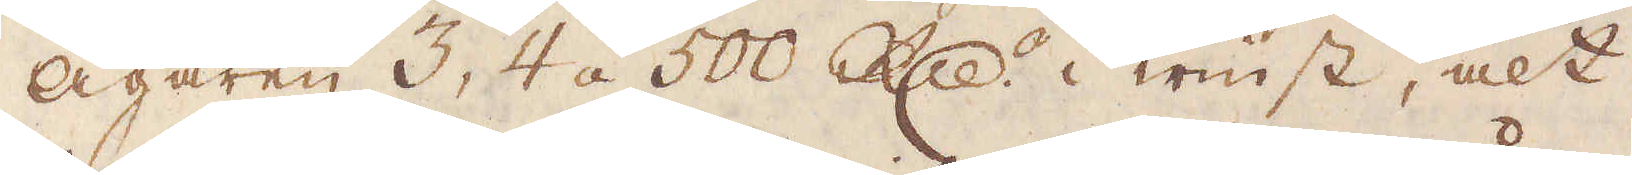Ägaren 3, 4 á 500 R:dr i winst, alt
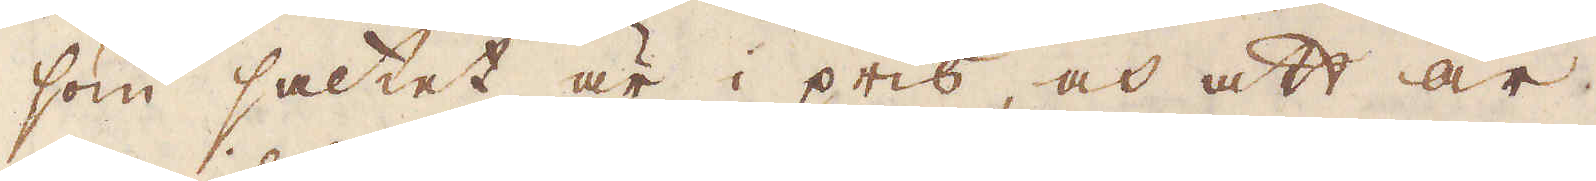som saltet är i pris, och att år,
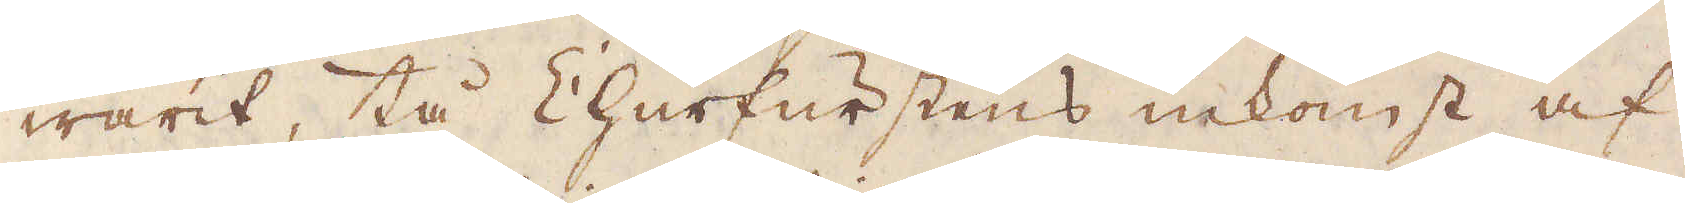warit, tå Churfurstens inkomst af
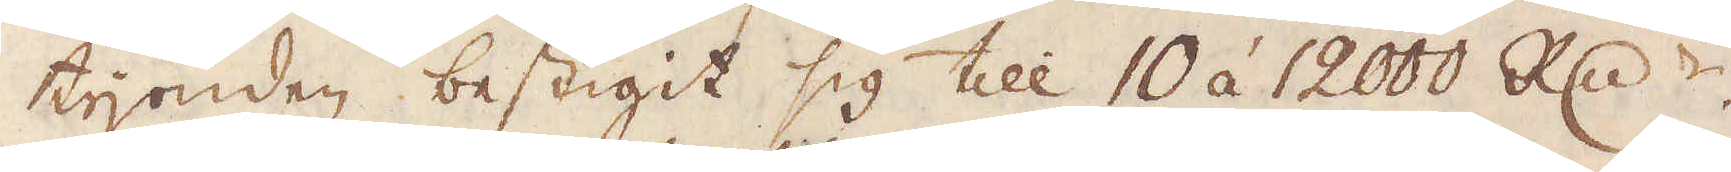tijonden bestigit sig till 10 á 12000 R:dr.
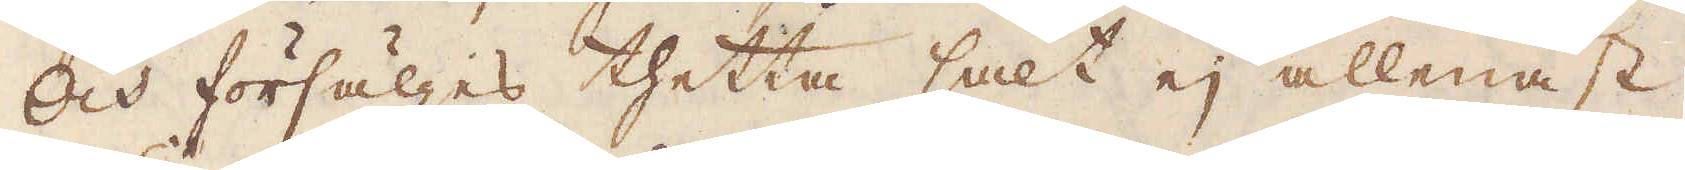Och försäljes thetta salt ej allenast
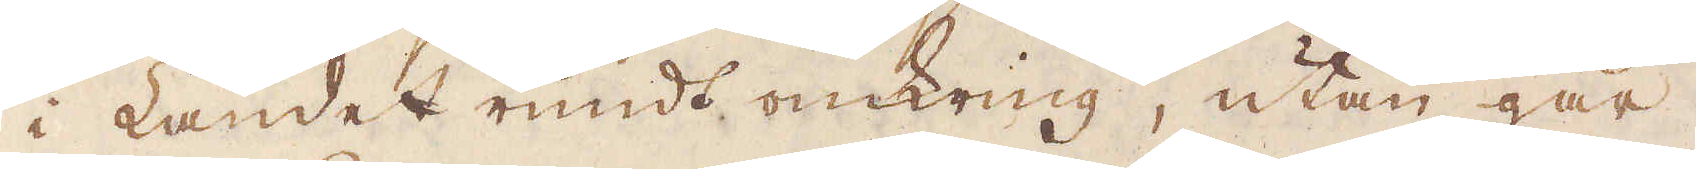i Landet rundt omkring, utan går,
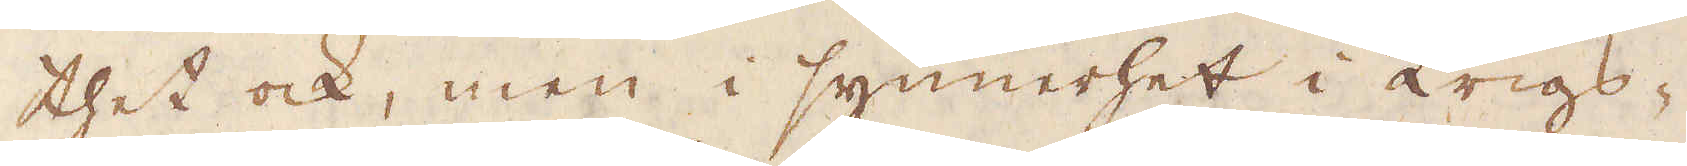thet ock, men i synnerhet i krigs-
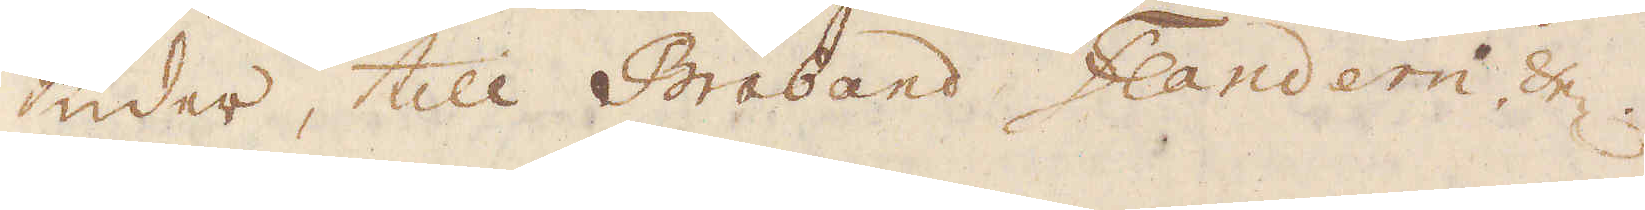tider, till Braband Flandern, &c.
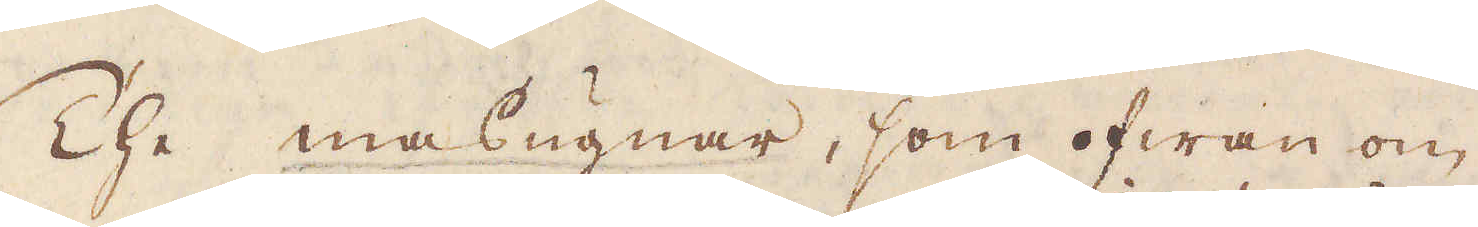The masugnar, som ofwan om
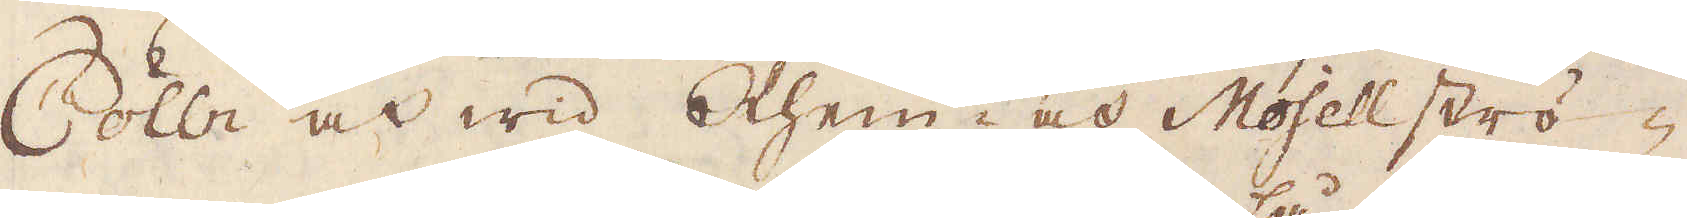Cölln och wid Rhein- och Mosellströ-
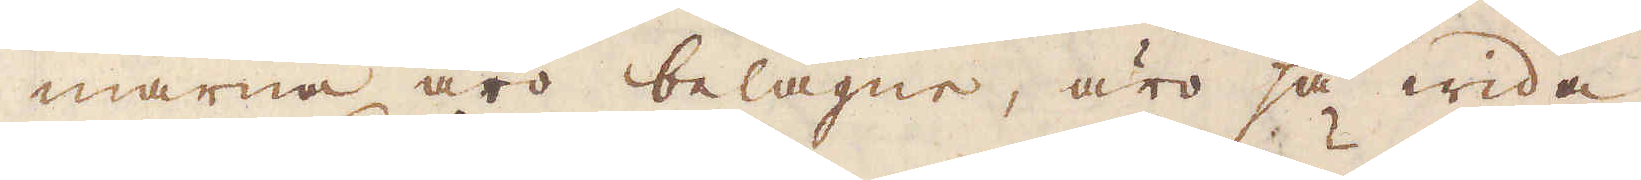marna äro belägne, äro så wida
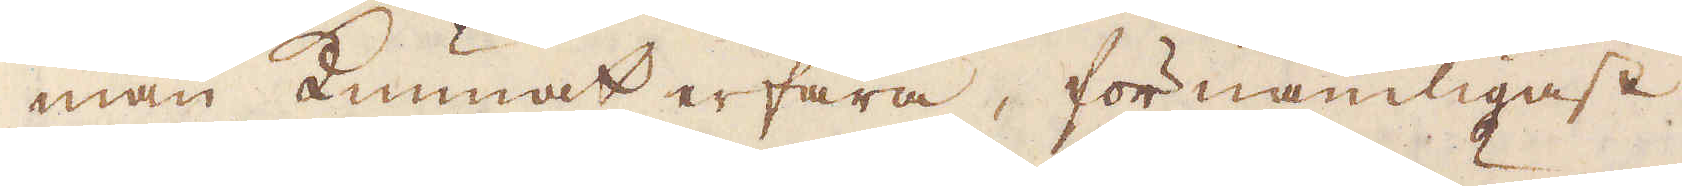man kunnat erfara, förnämligast
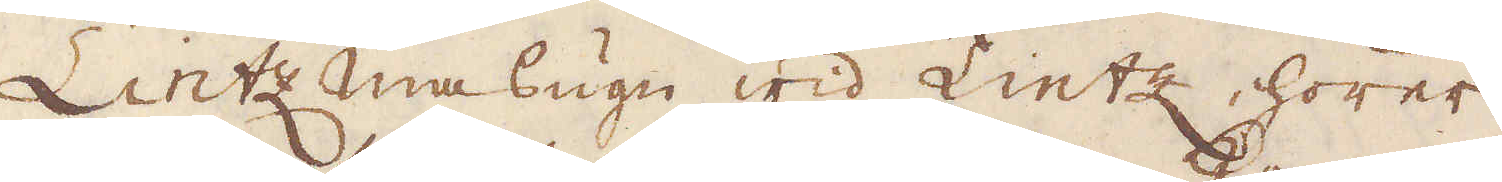Lint masugn wid Lintz hörer
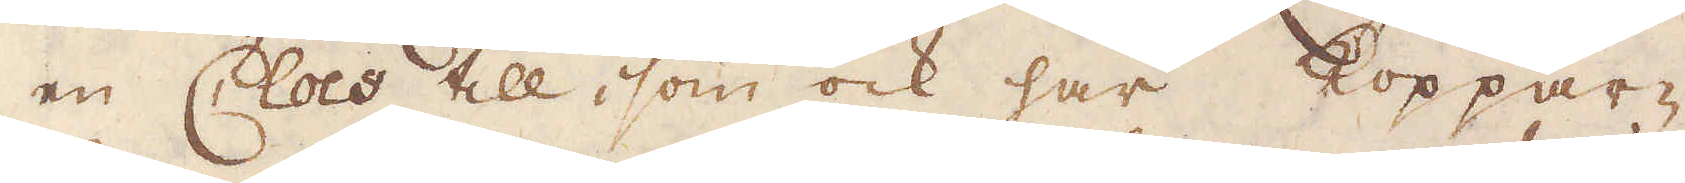en Clos till, som ock har koppar-
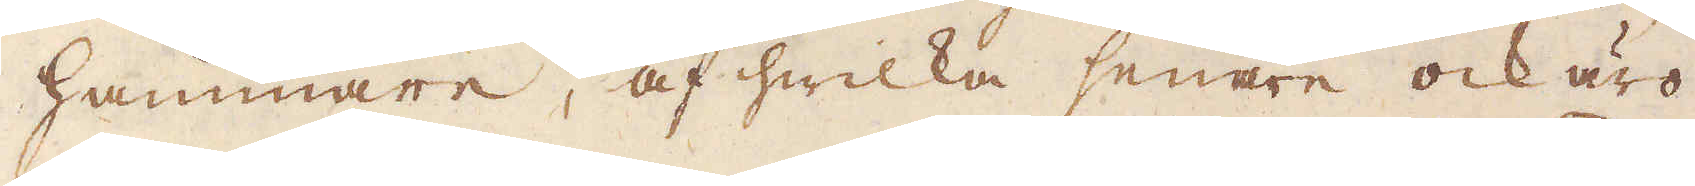hammare, af hwilka senare ock äro
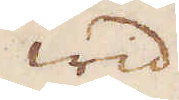Wid
